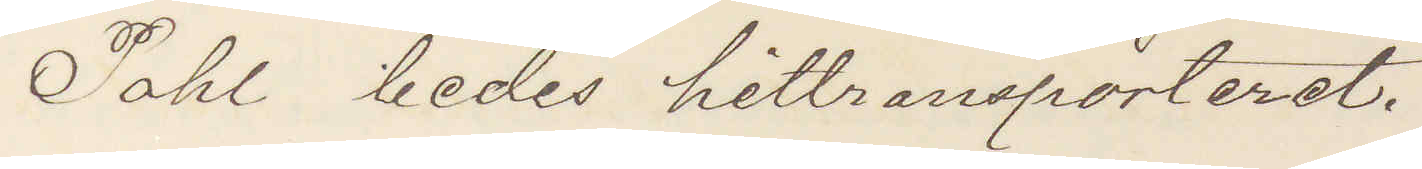Pahl bedes hittransporteret.
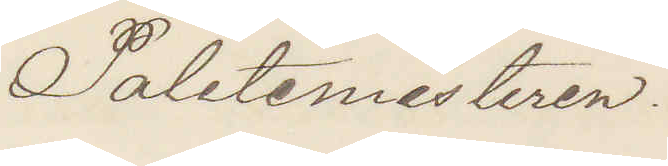Politimesteren.
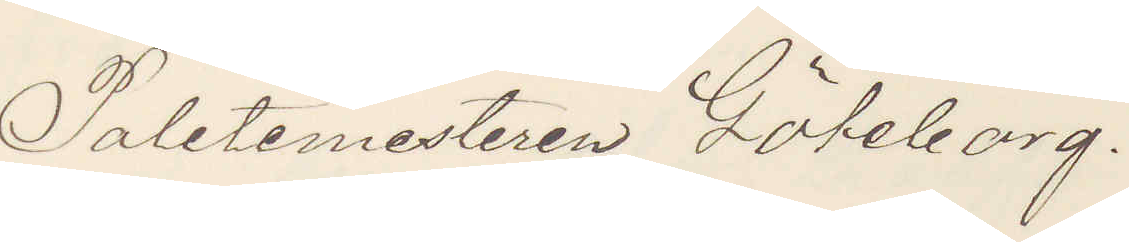Politimestaren Göteborg.
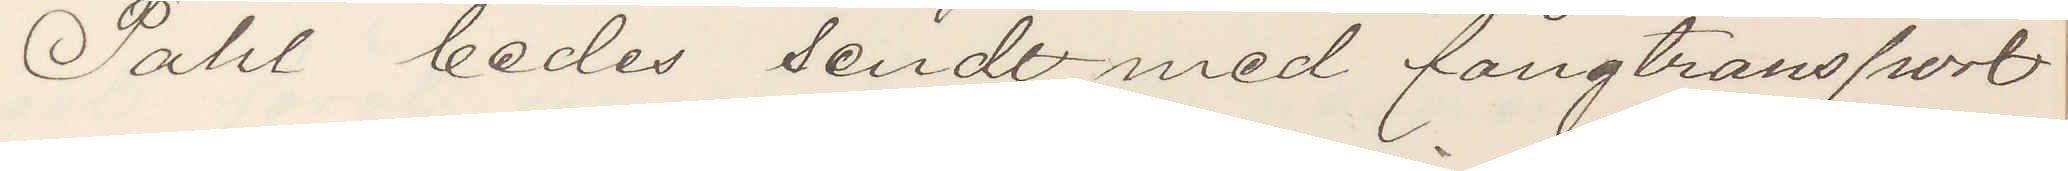Pahl bedes sendt med fångtransport
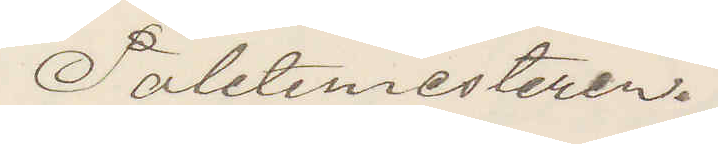Politimesteren.
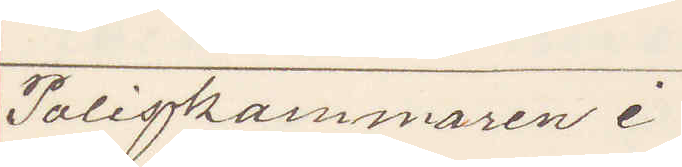Poliskammaren i
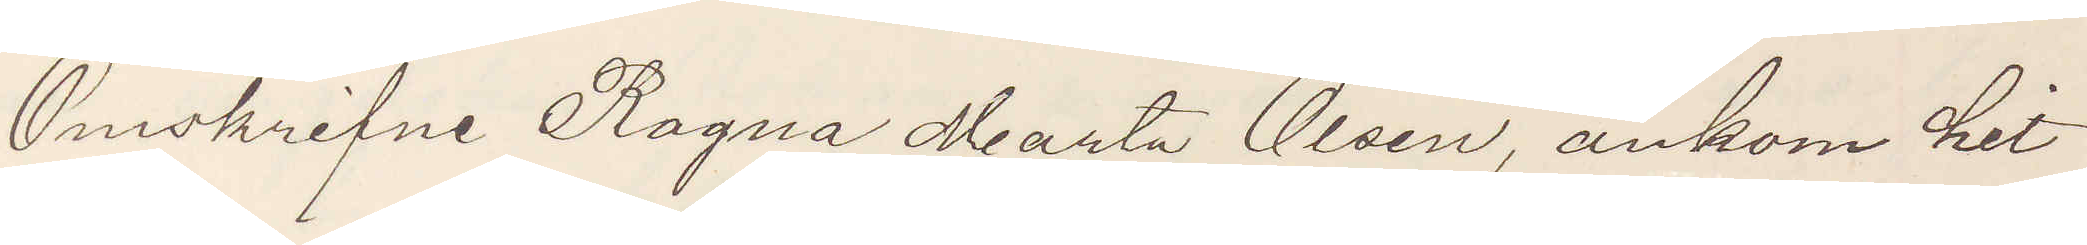Omskrifne Ragna Marta Olsen ankom hit
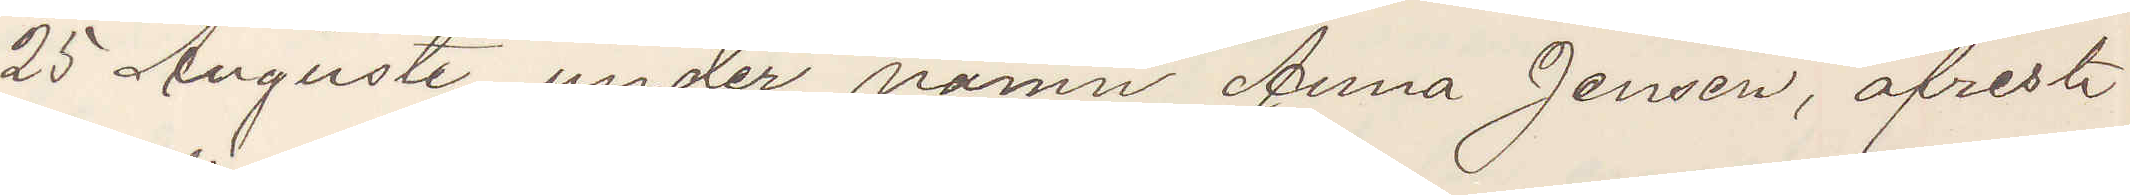25 Augusti under namn Anna Jensen, afrest
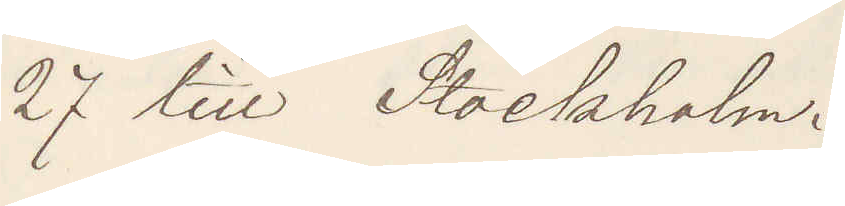27 till Stockholm.
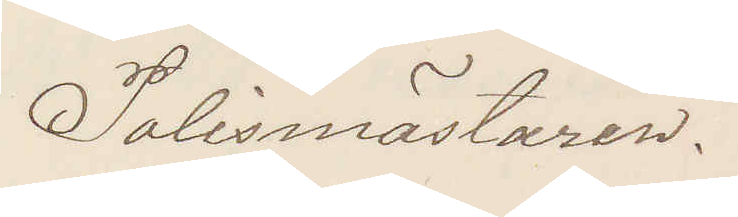Polismästaren.
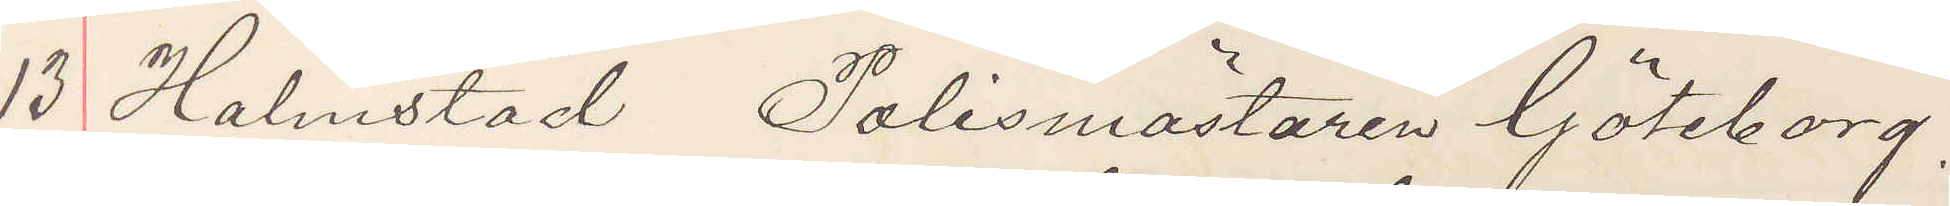13 Halmstad Polismästaren Göteborg.
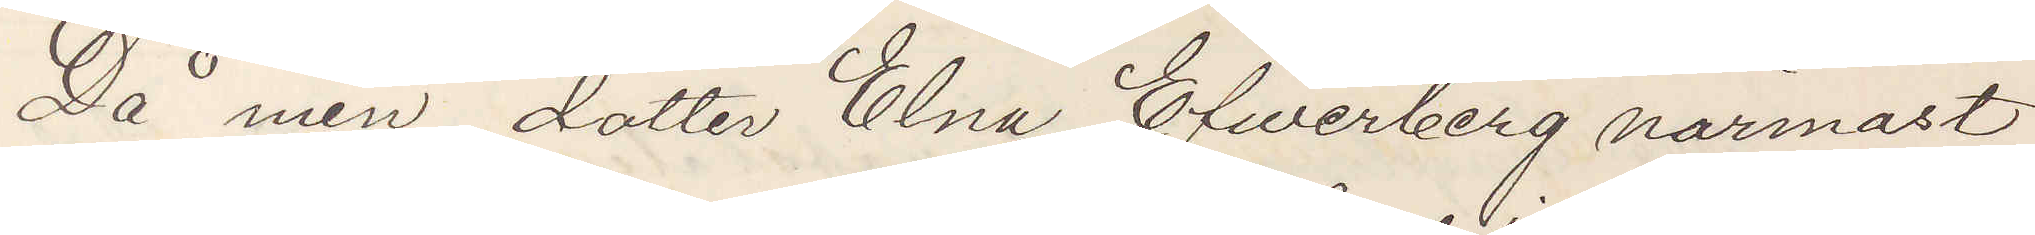Då min dotter Elna Efwerberg närmast
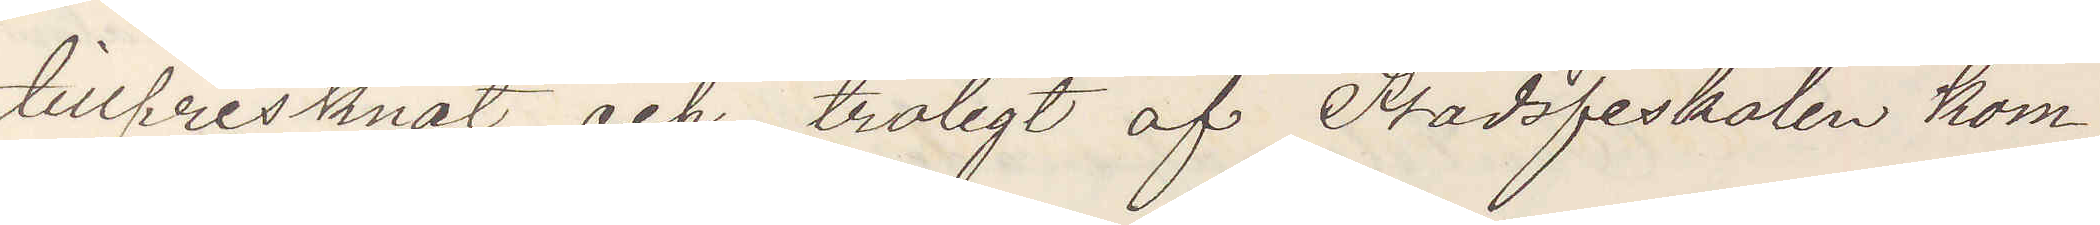tillfrisknat och troligt af Stadsfiskalen kom¬
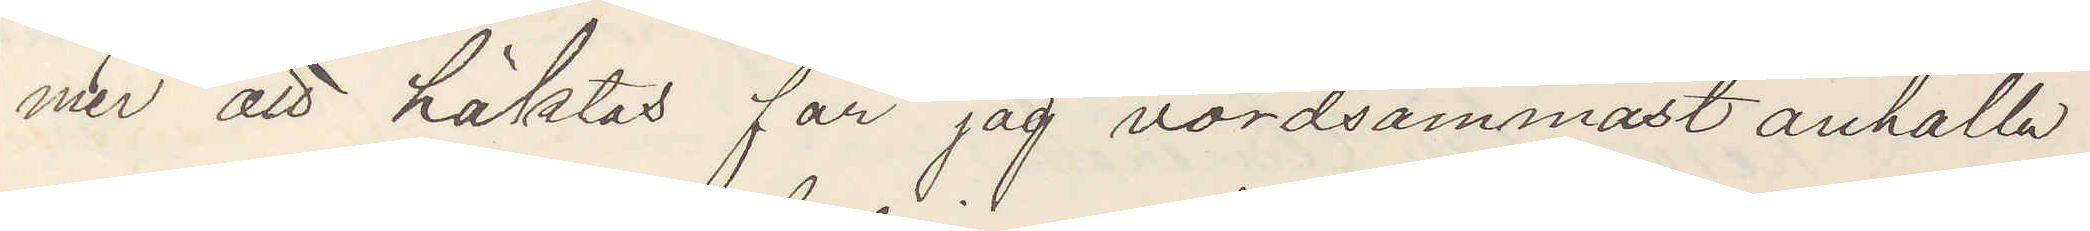mer att häktas får jag vördsammast anhålla
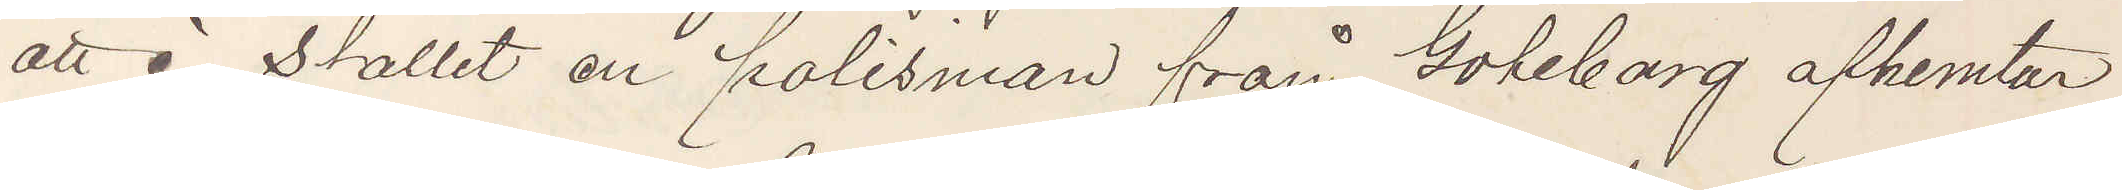att i stället en polisman från Göteborg afhemtar
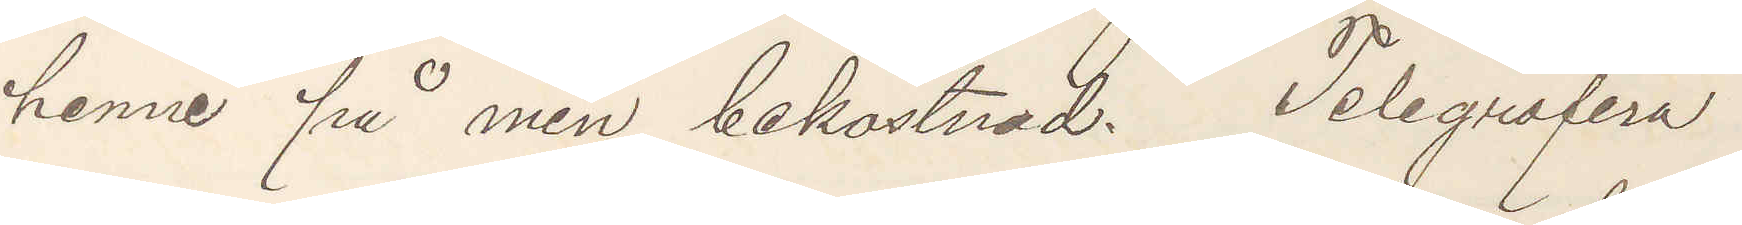henne på min bekostnad. Telegrafera
